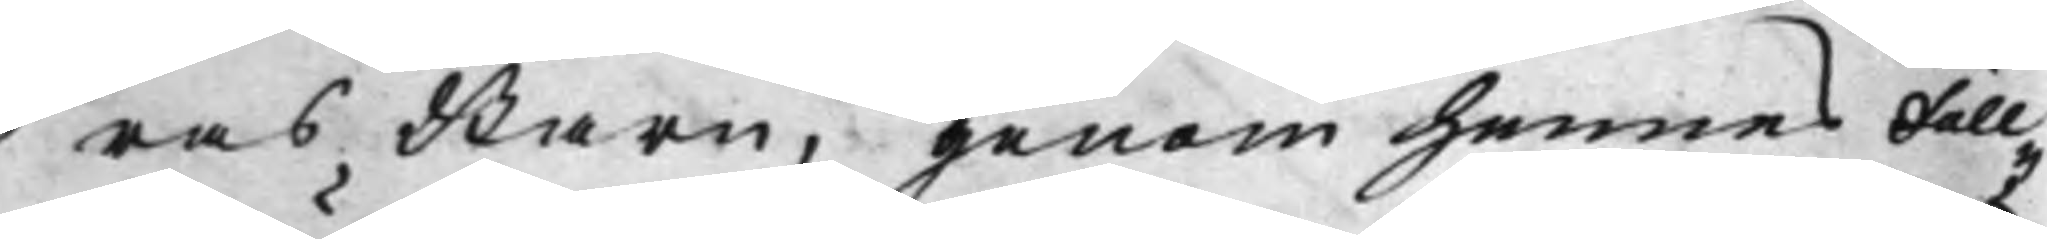ras Barn, genom hennes Full¬
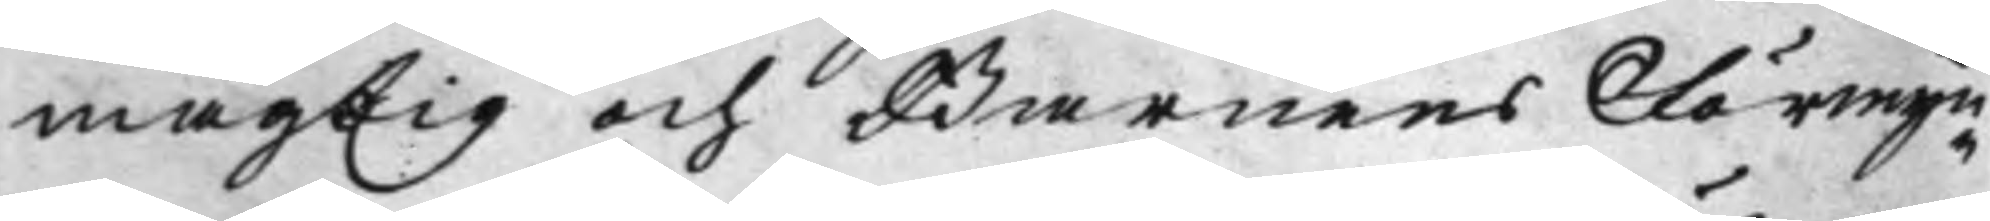mägtig och Barnens Förmyn¬
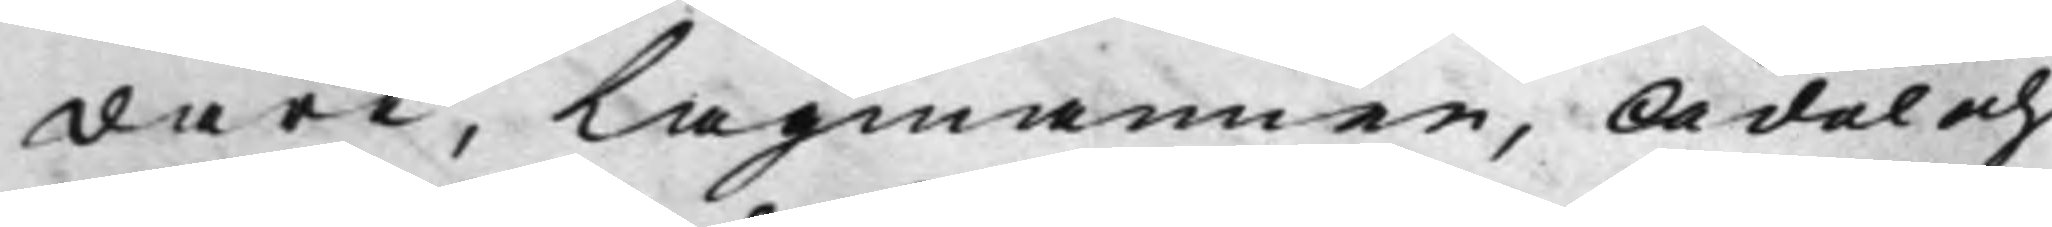dare, Lagmannen, Ädel och
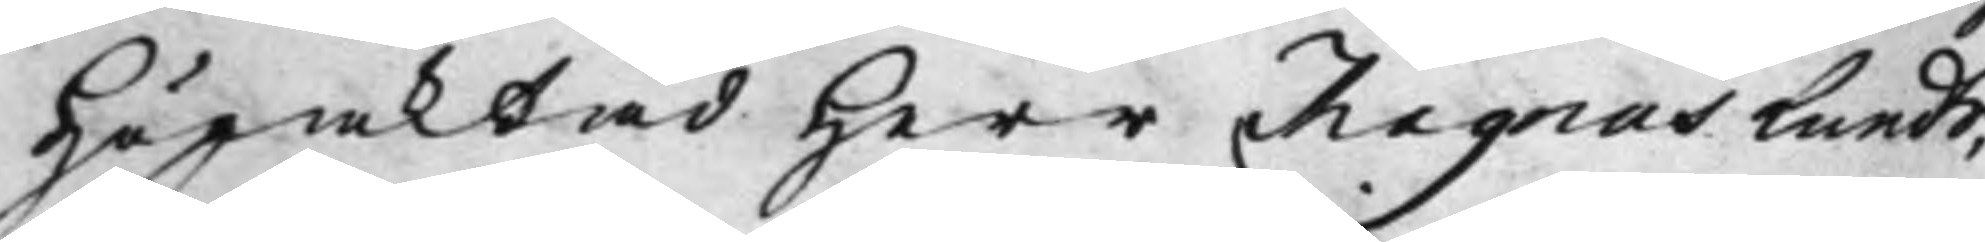Högaktad Herr Magnus Lunds,
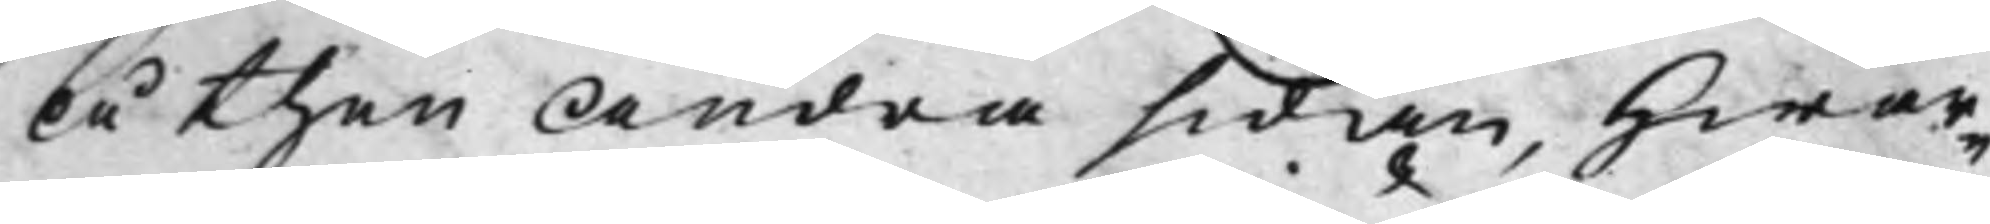Å then andra sidan, hwar¬
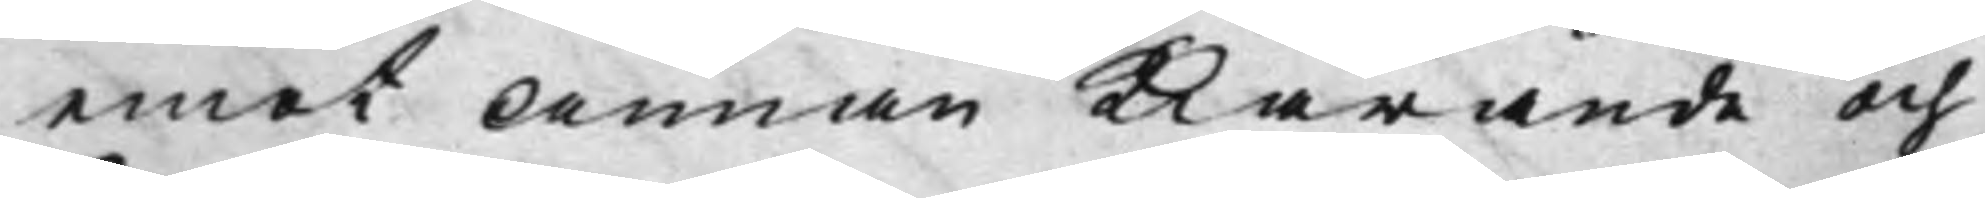emot Annan Kiärande och
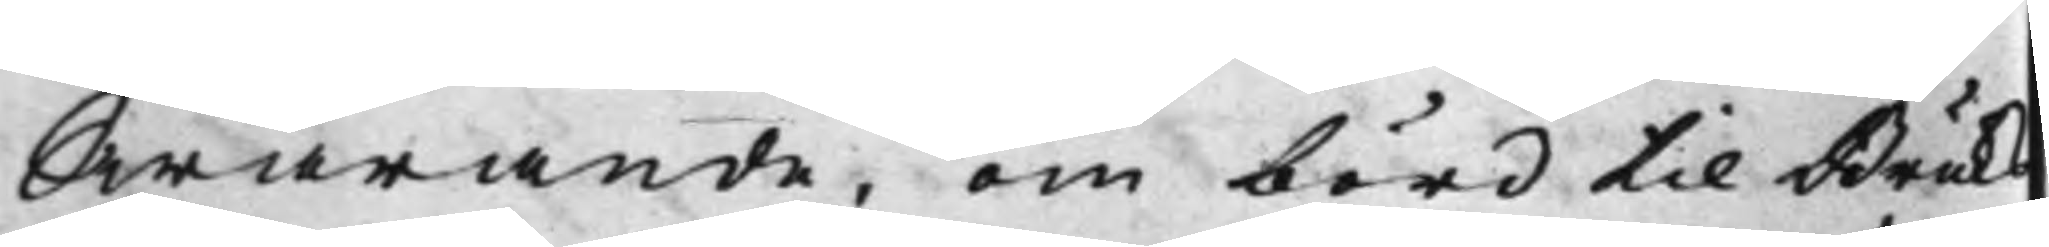Swarande, om börd til Bruks¬
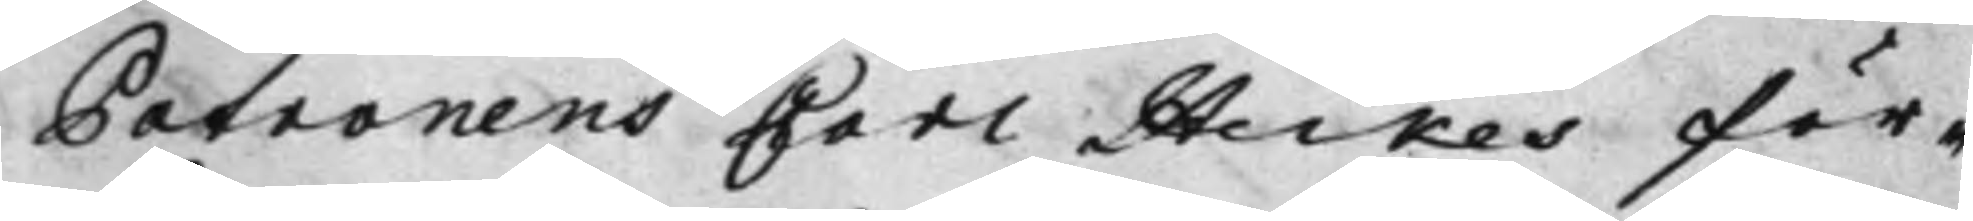Patronens Carl Heikes för¬
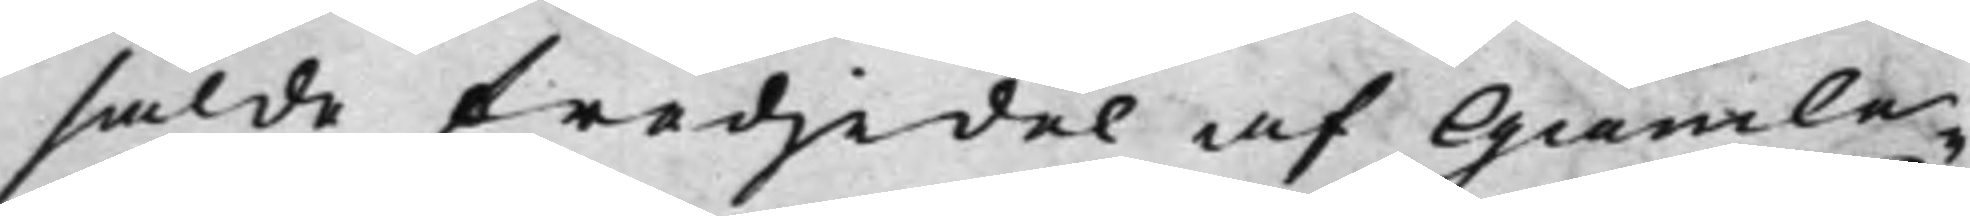sålde tredjedel af Gamle¬
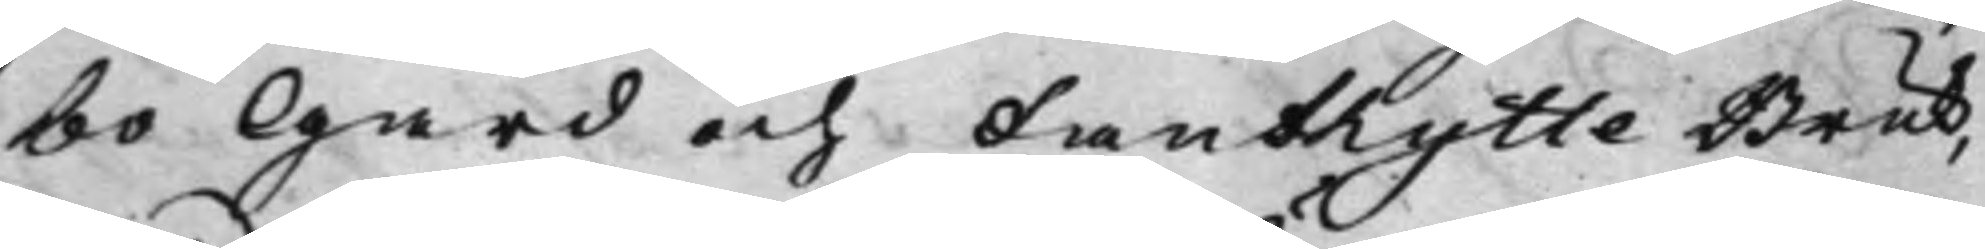bo Gård och Fanthytte Bruk,
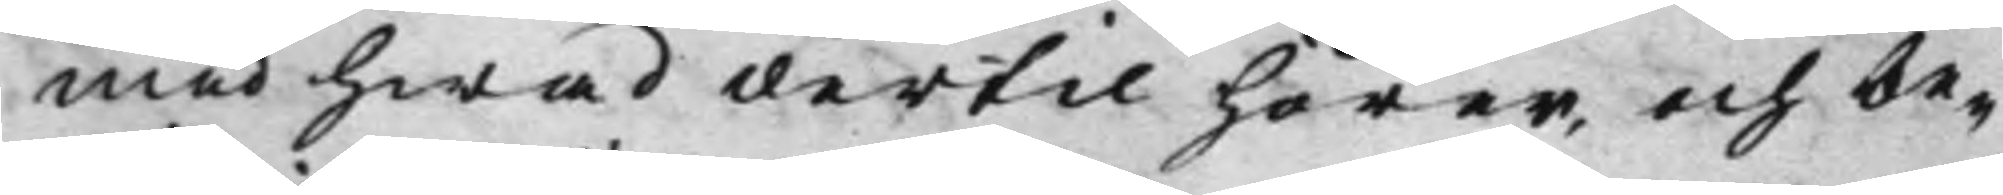med hwad dertil hörer, och be¬
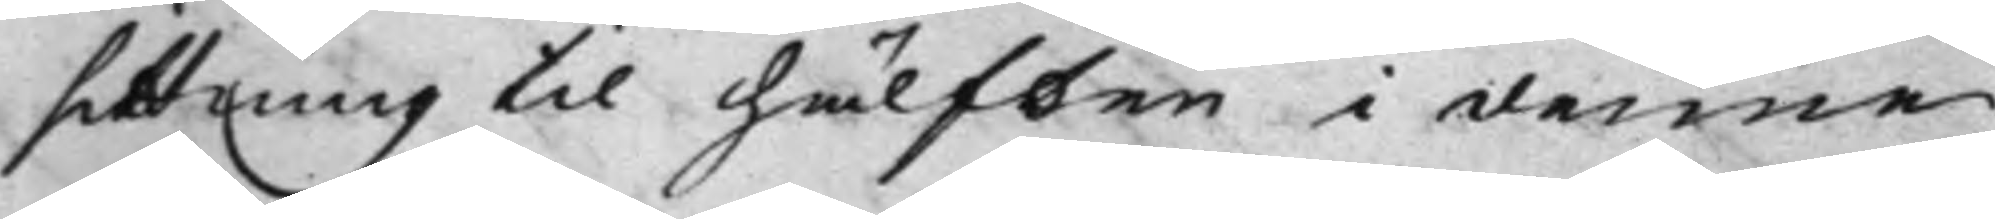sittning til hälften i denne
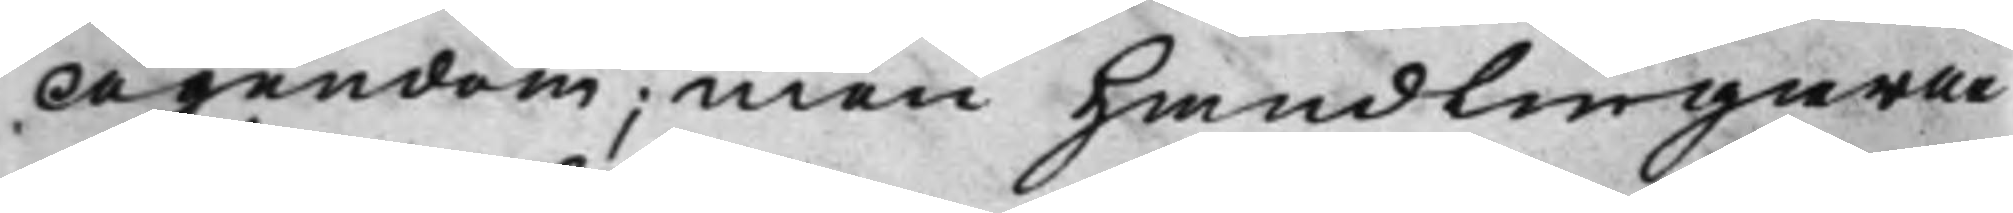Ägendom; Men handlingarne
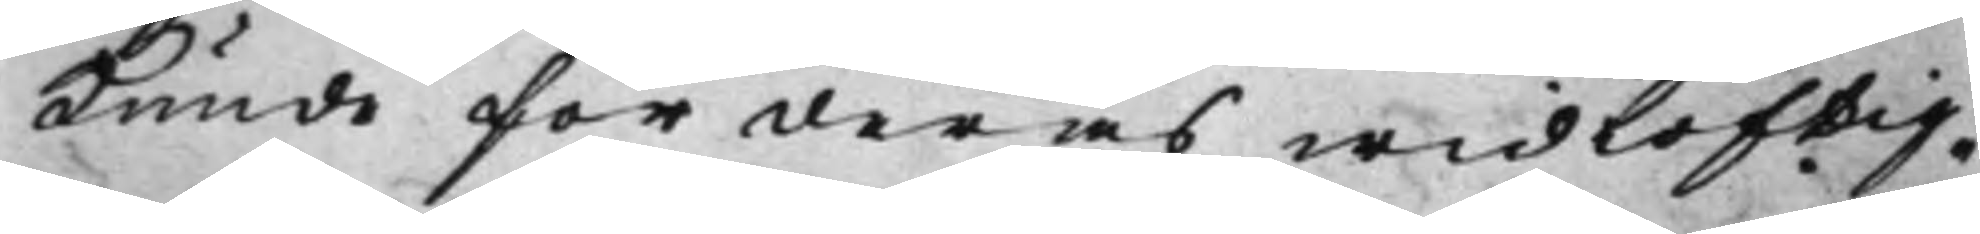kunde för deras widlöftig¬
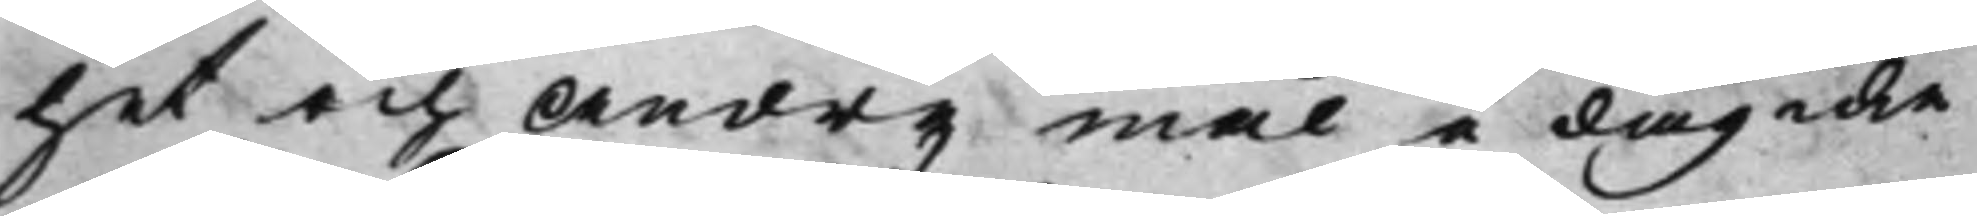het och Andre Mål i dag icke
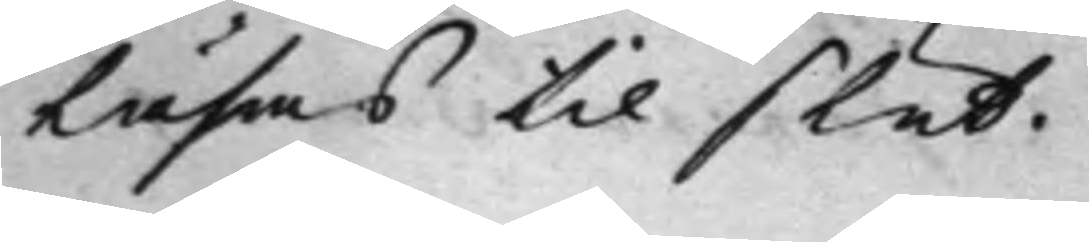Läsas til slut.
